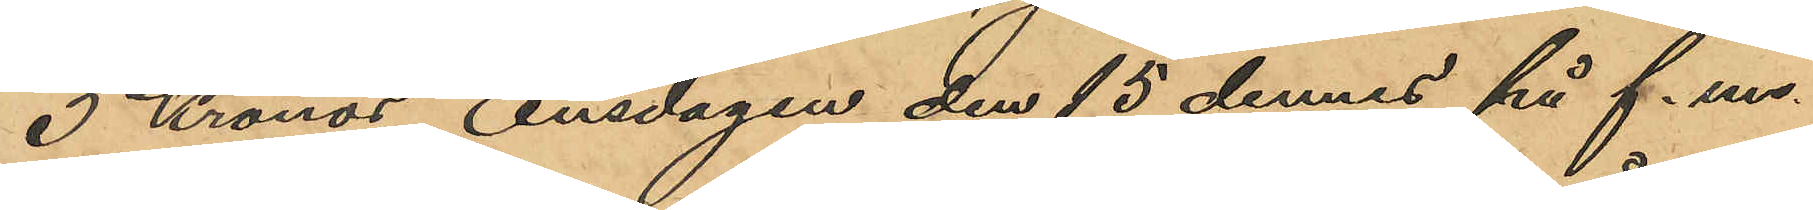3 Kronor, onsdagen den 15 dennes på f. m.
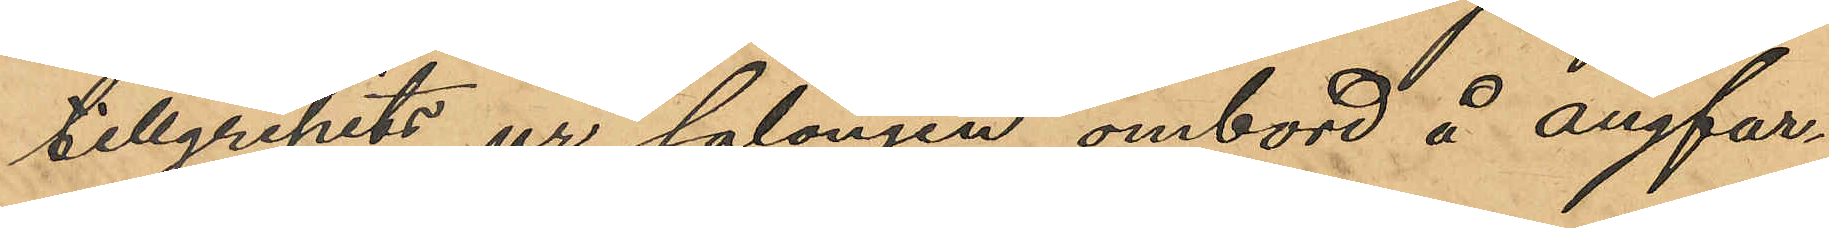tillgripits ur salongen ombord å ångfar¬
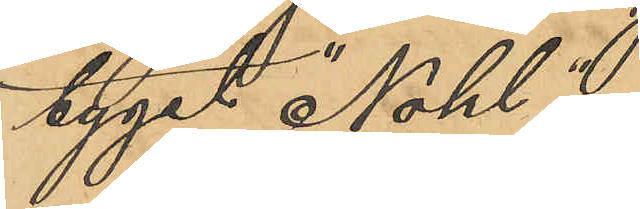tyget "Nohl ".
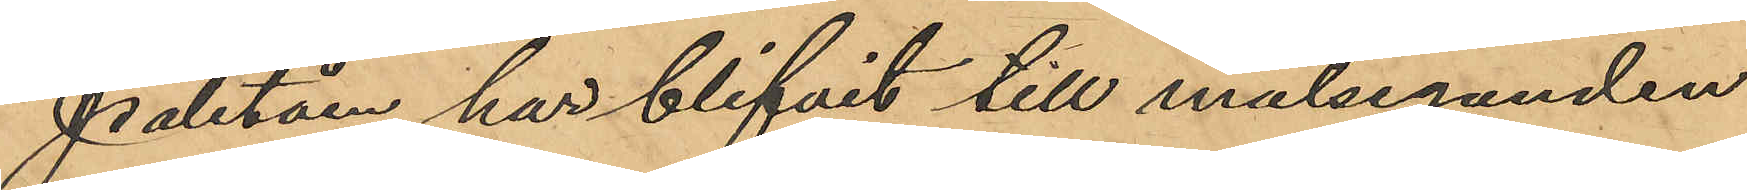Paletån har blifvit till målseganden
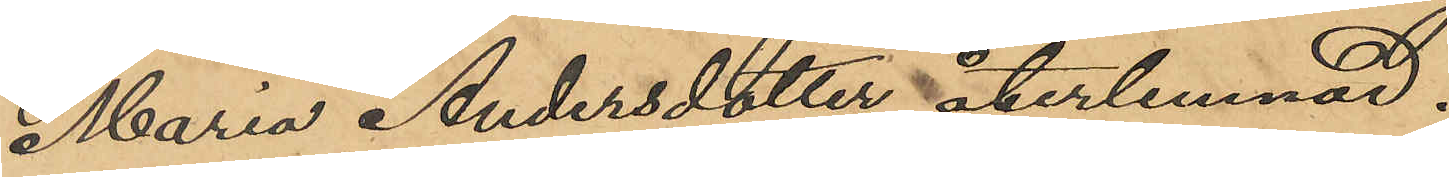Maria Andersdotter återlemnad.
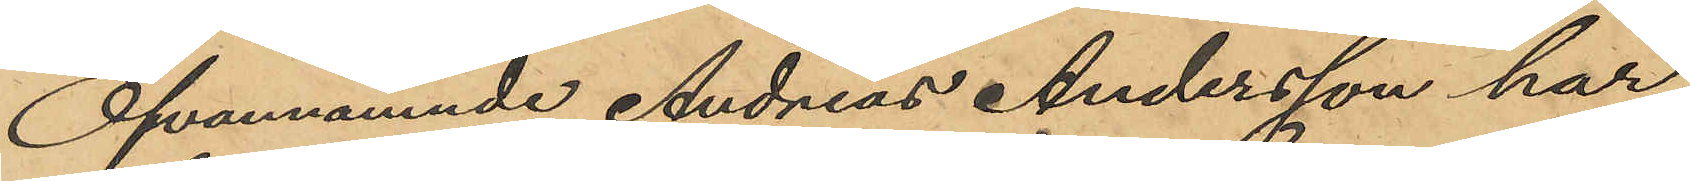Ofvannämnde Andreas Andersson har
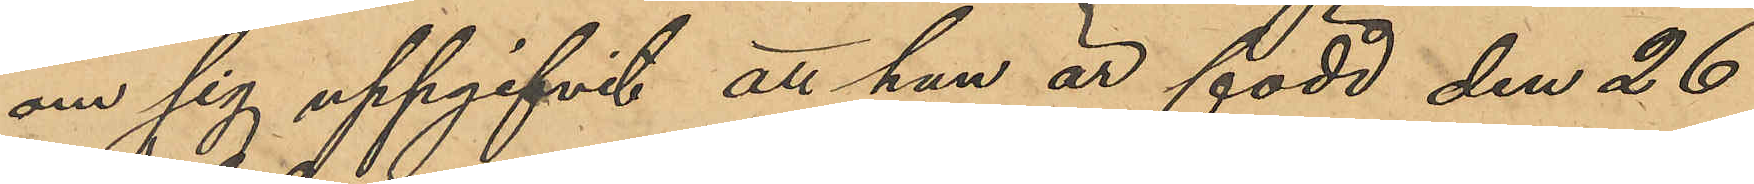om sig uppgifvit, att han är född den 26
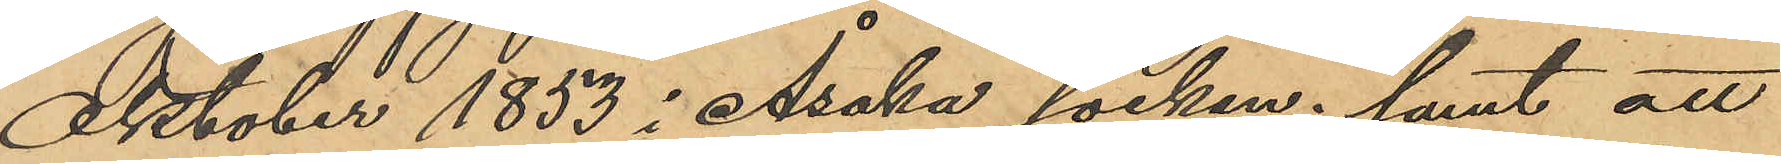Oktober 1853 i Åsaka socken; samt att
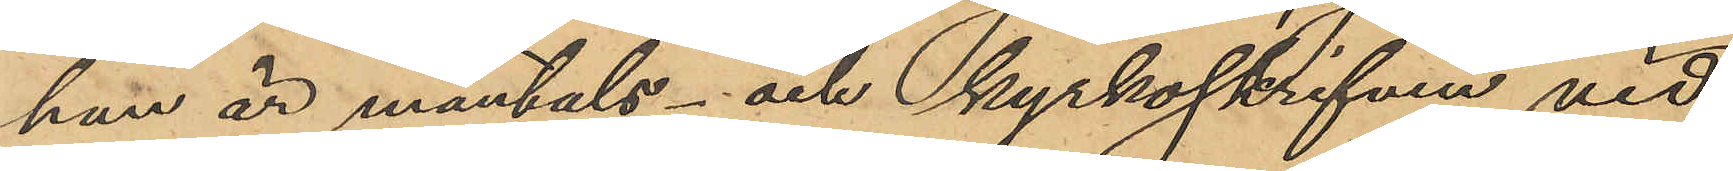han är mantals- och kyrkoskrifven vid
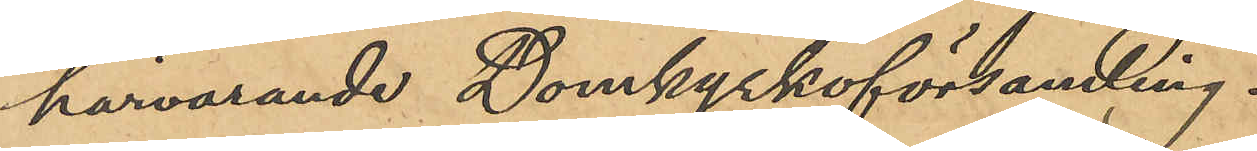härvarande Domkyrkoförsamling.
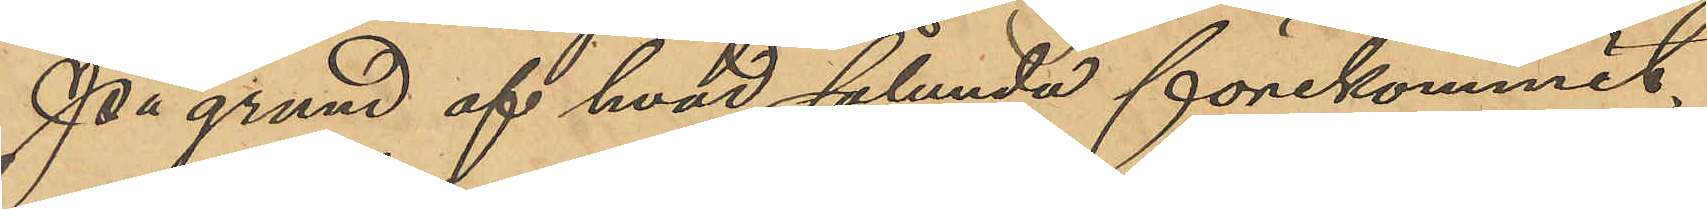På grund af hvad sålunda förekommit,
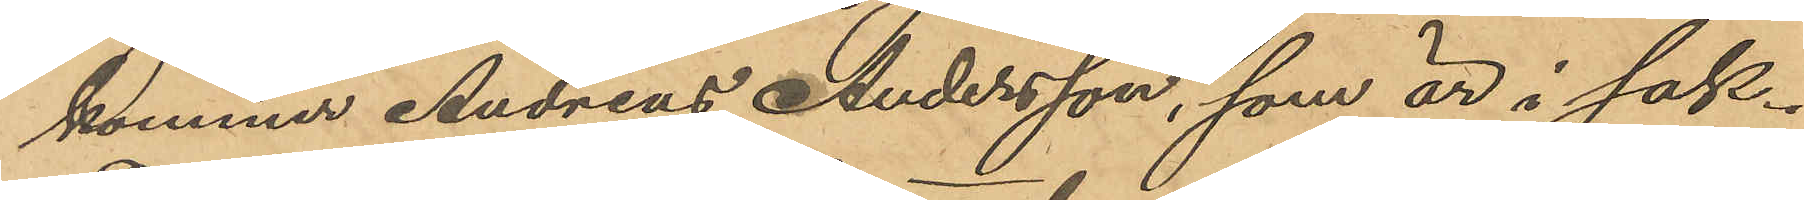kommer Andreas Andersson, som är i sak¬
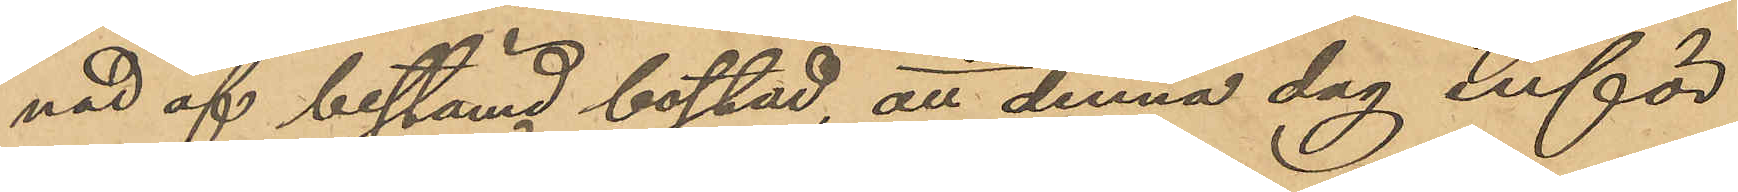nad af bestämd bostad, att denna dag inför
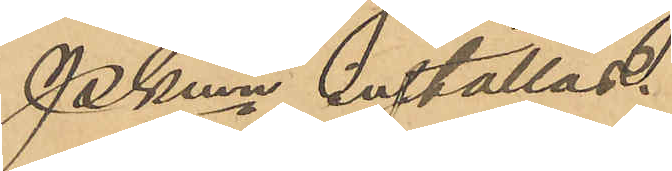Pkmn inställas.
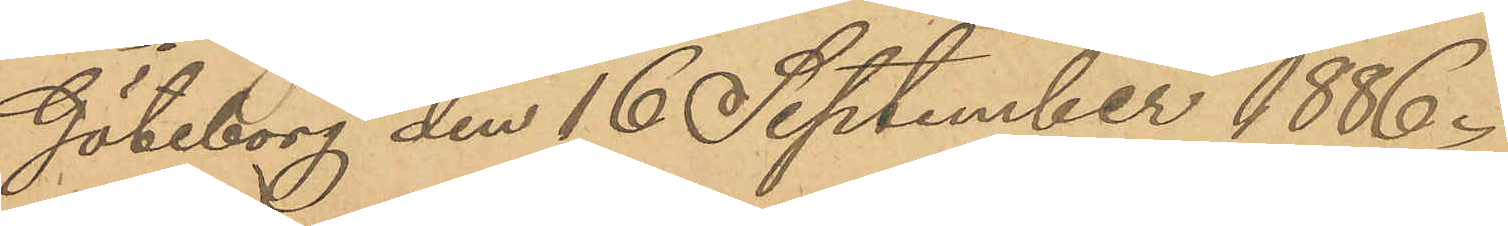Göteborg den 16 September 1886.
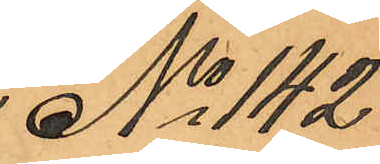No 142
